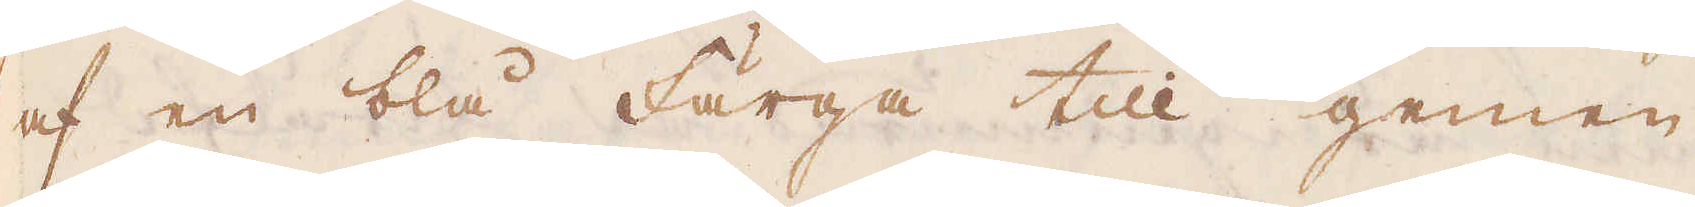af en blå Färga till gemen
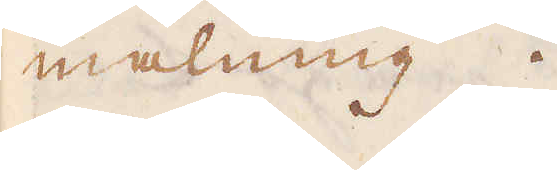målning.
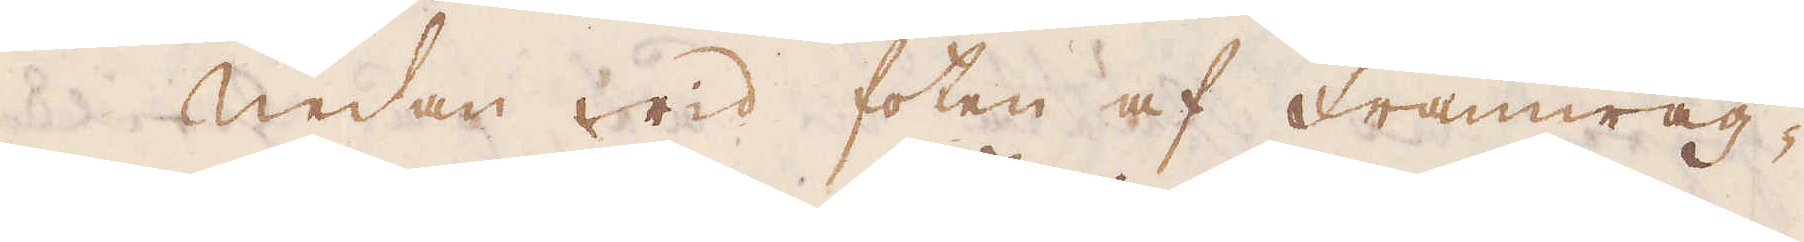Nedan wid foten af Framwäg-
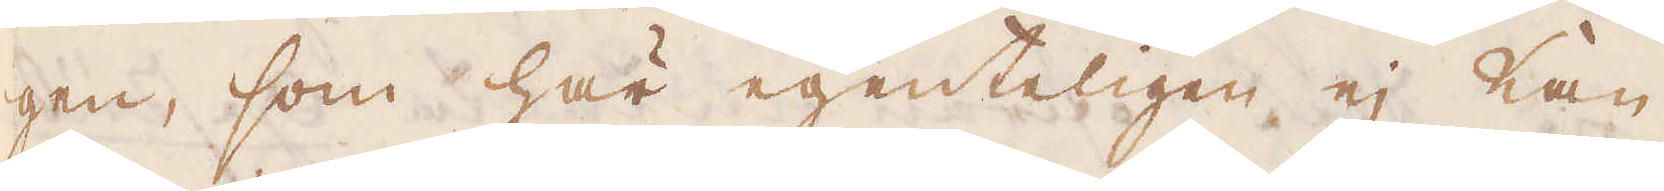gen, som här egenteligen ej kan
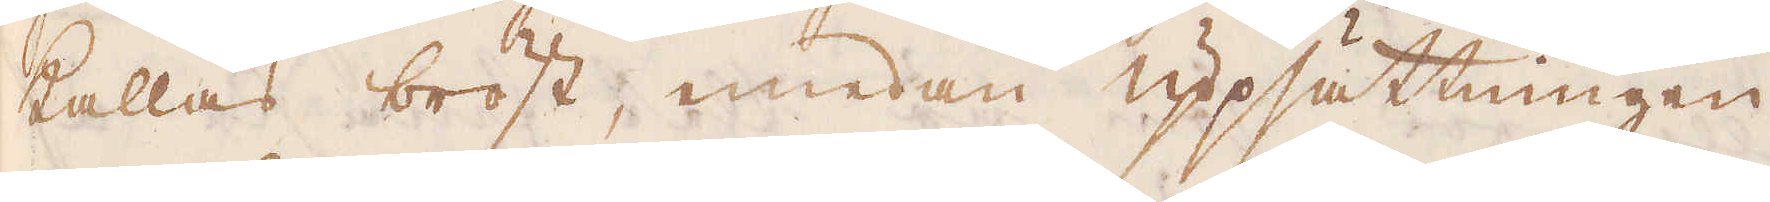kallas bröst, emedan uppsättningen
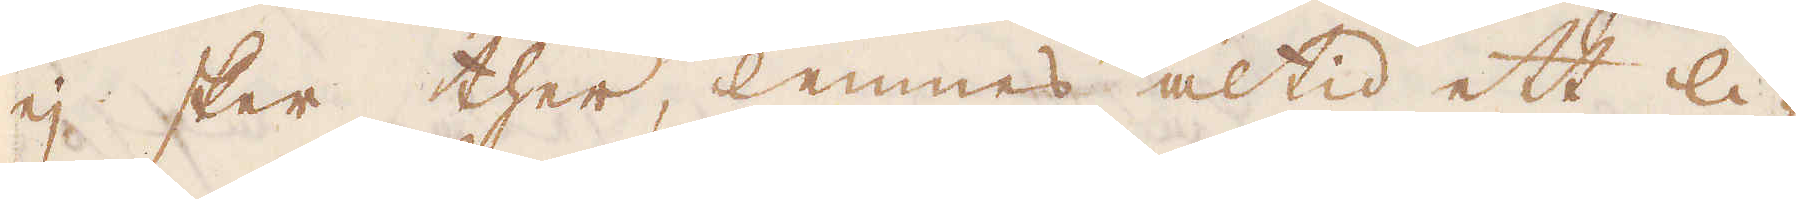ej sker ther, lemnes altid ett li-
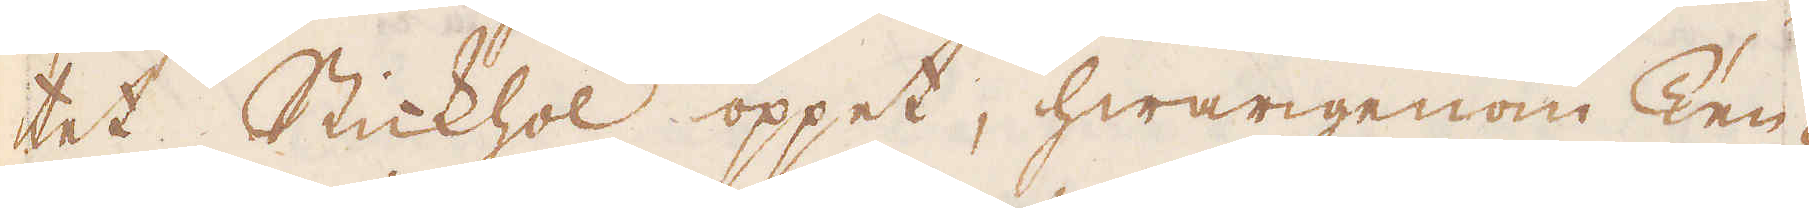tet Stickhol öppet, hwarigenom Ten-
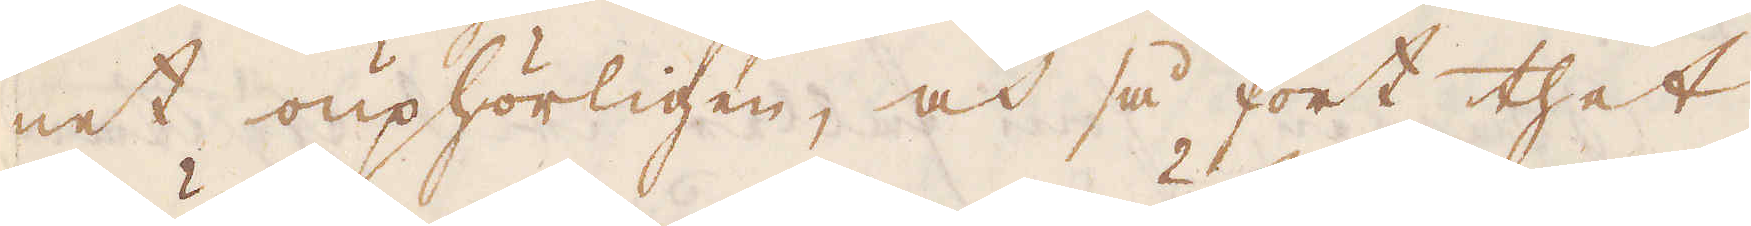net ouphörligen, och så fort thet
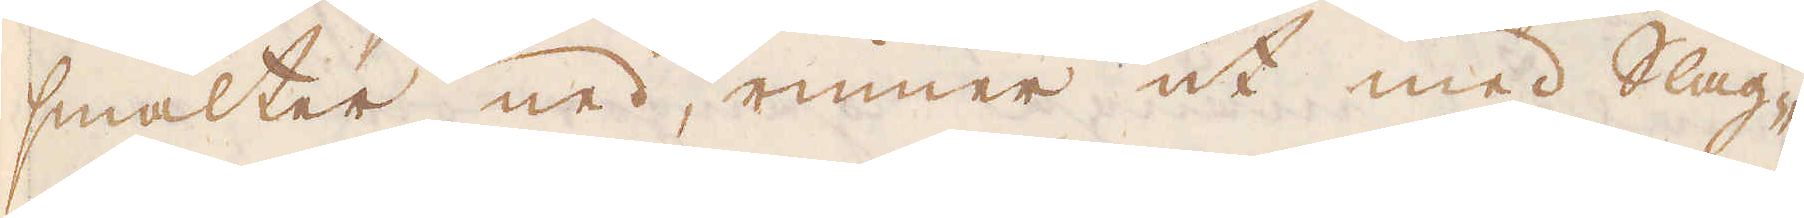smälter ned, rinner ut med Slag-
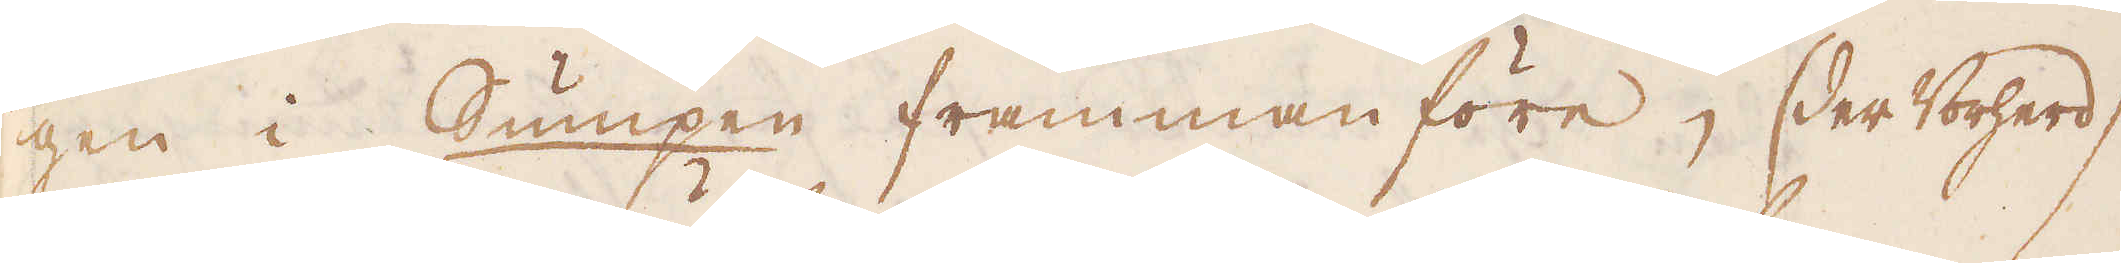gen i Sumpen frammanföre, (der Vorherd)
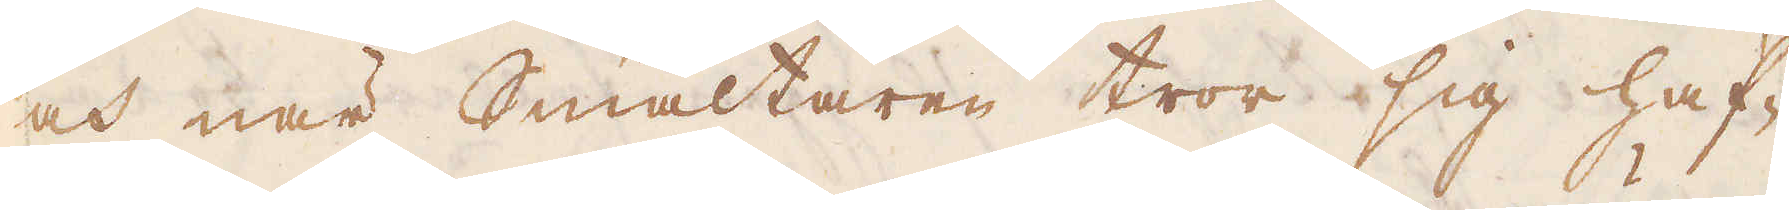och när Smältaren tror sig haf-
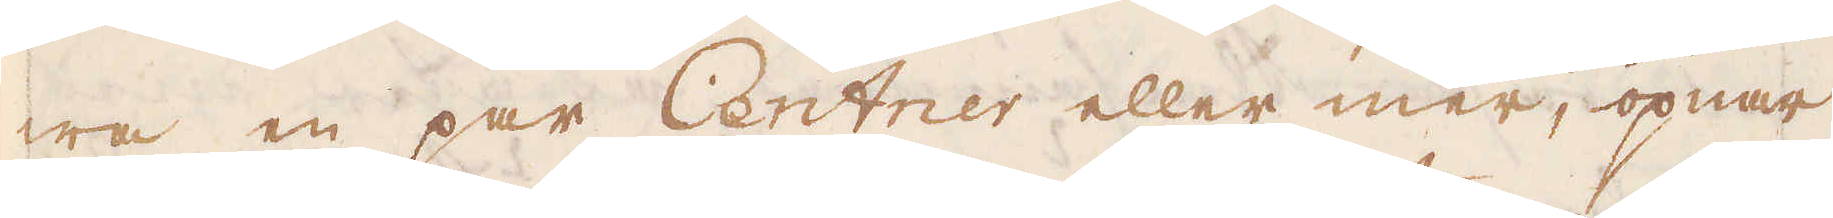wa en par Centner eller mer, öpnar
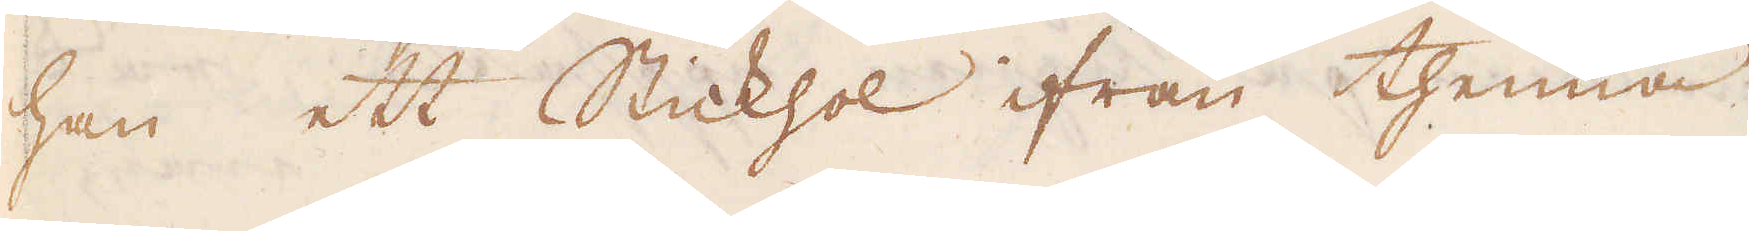han ett Stickhol ifrån thenna
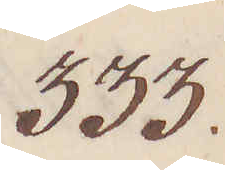333.
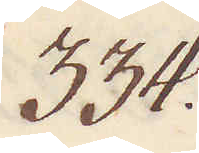334.
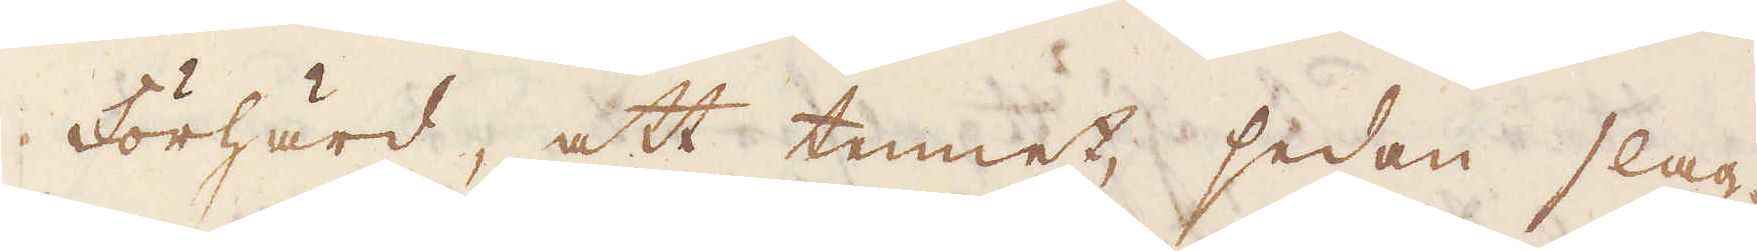Förhärd, att tennet, sedan slag-
